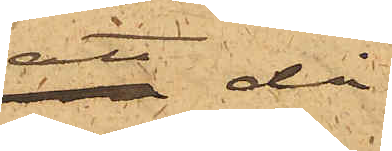att då
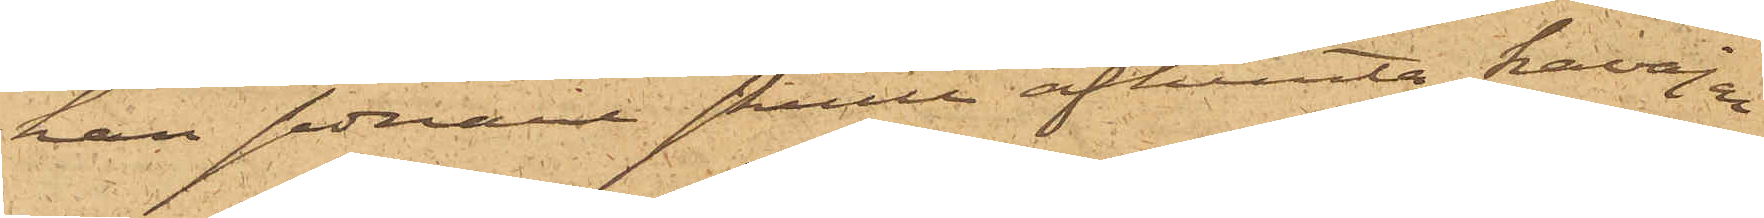han sednare skulle afhemta kavajen
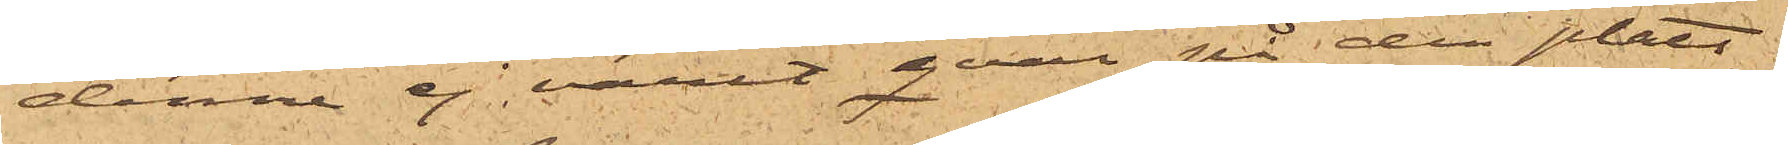denne ej varit qvar på den plats
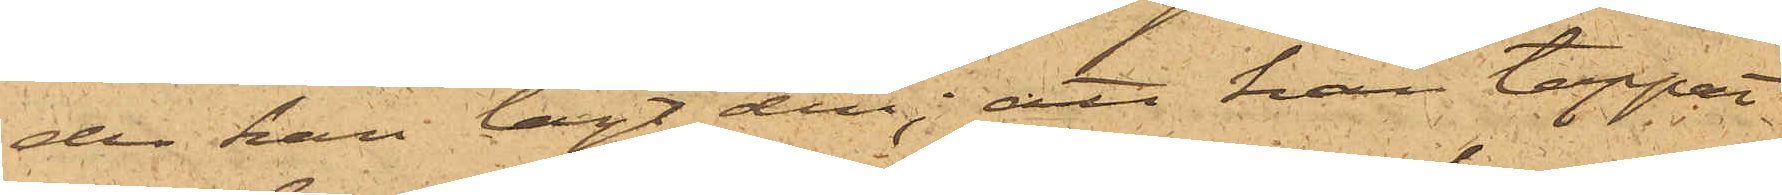der han lagt den; att han tappat
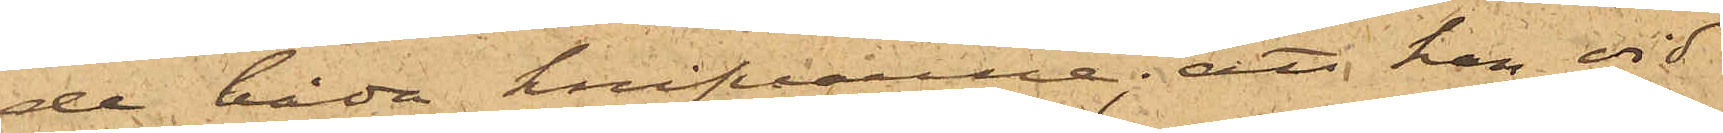de båda knifvarne; att han vid
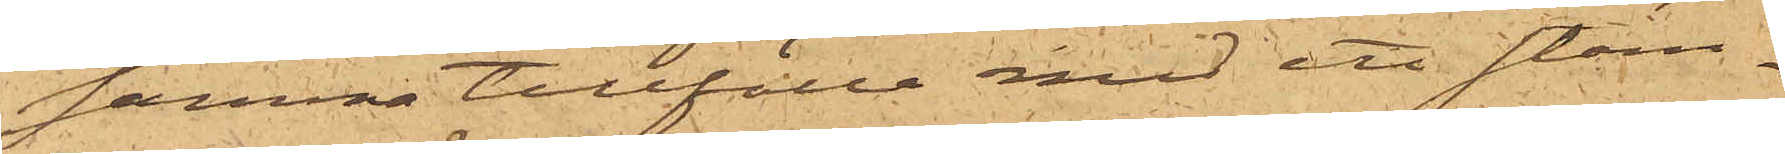samma tillfälle med ett stäm¬
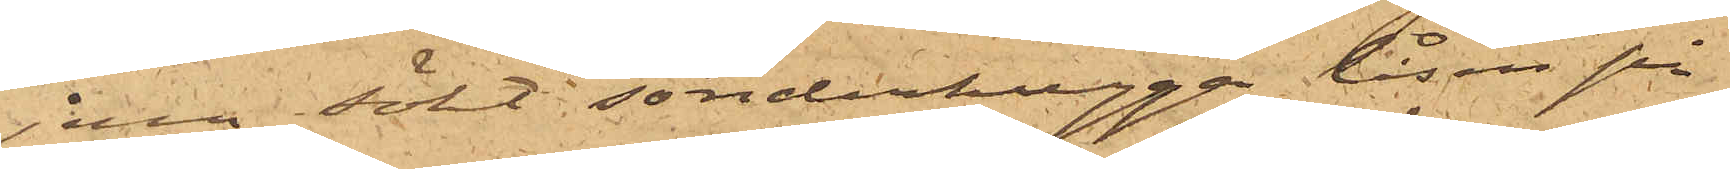jern sökt sönderhugga låsen på
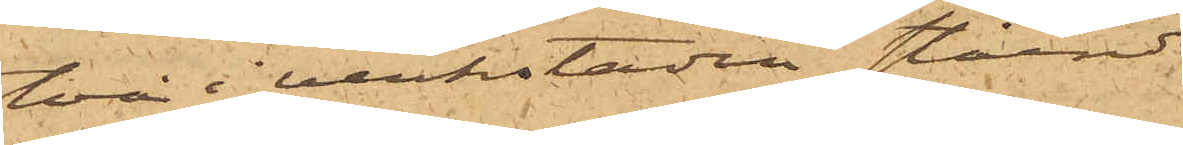två i verkstaden stående
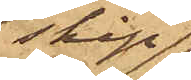skåp
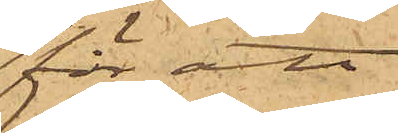för att
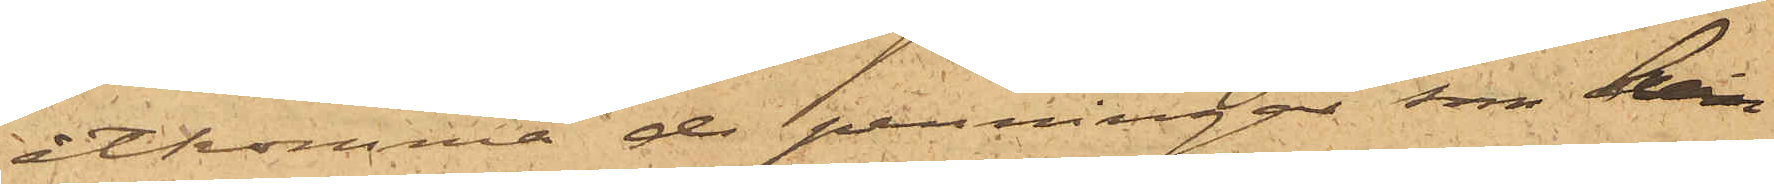åtkomma de penningar, som han
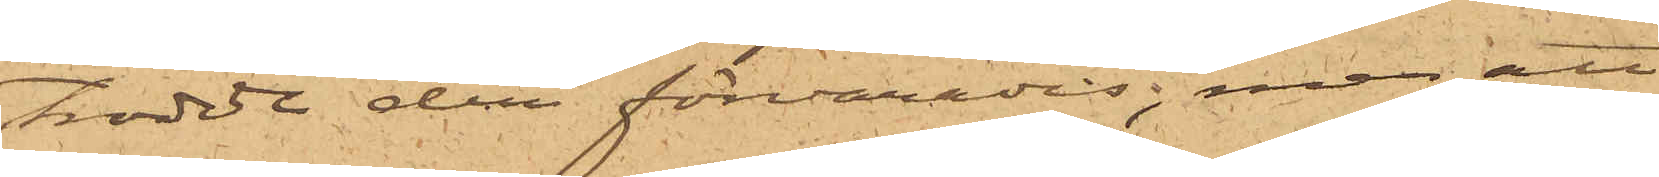trodde der förvarades; men att
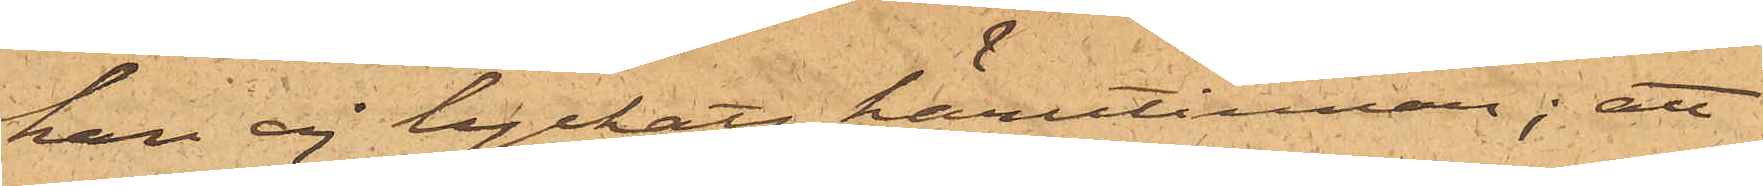han ej lyckats härutinnan; att
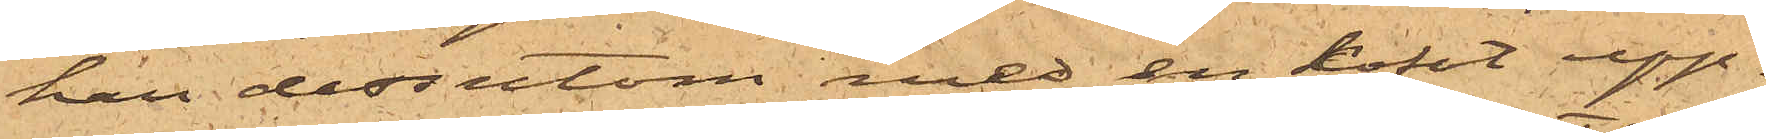han dessutom med en kofot upp¬
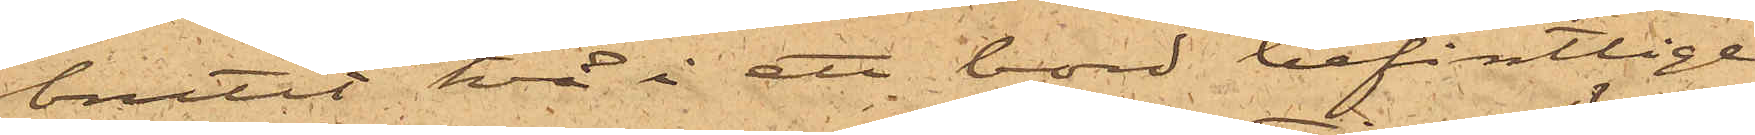brutit två i ett bord befintlige
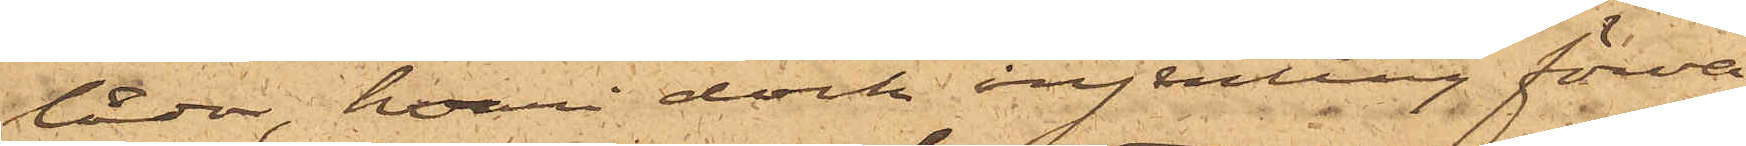lådor, hvari dock ingenting förva¬
